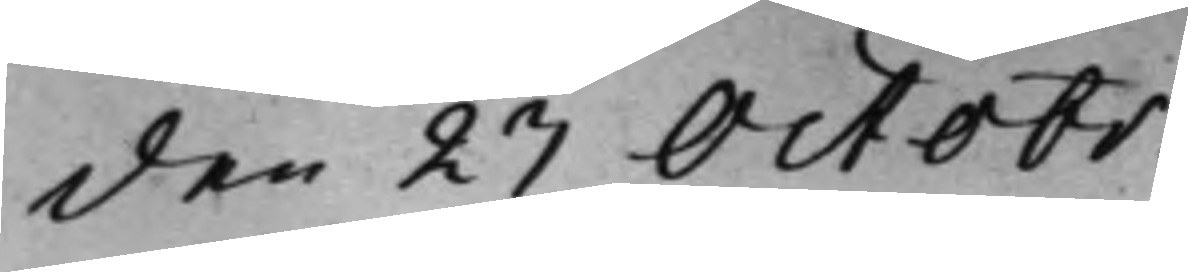den 23 Octobr.
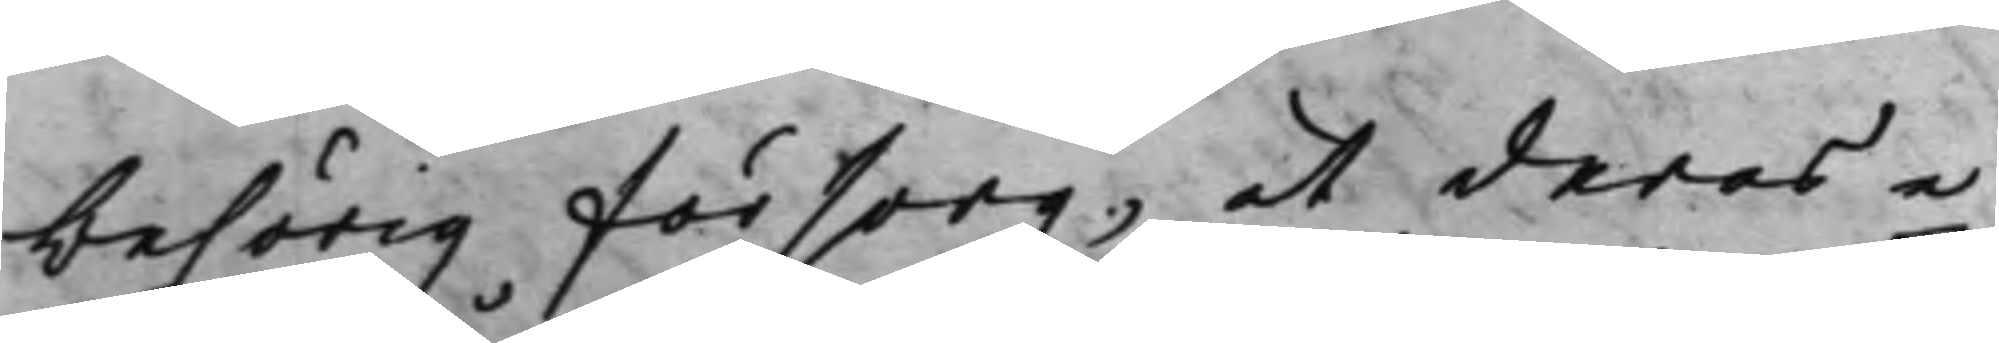behörig försorg, at deras e¬
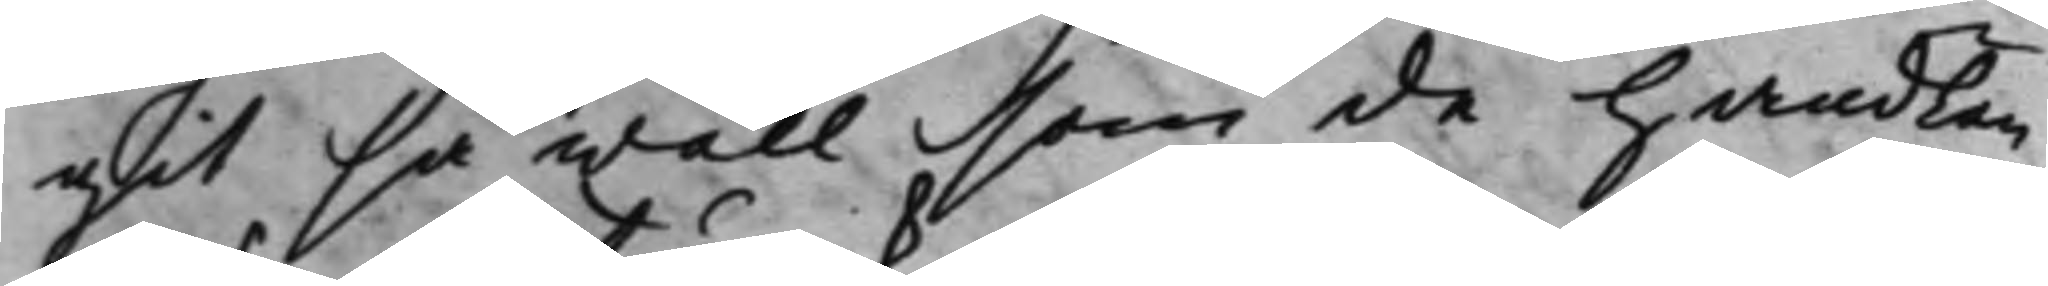git så wäll som de handlan¬
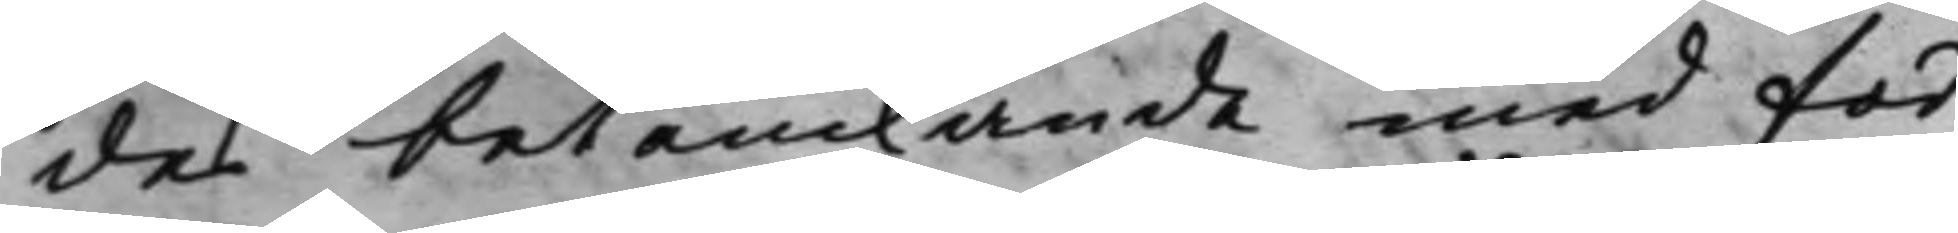des betänkande med för¬
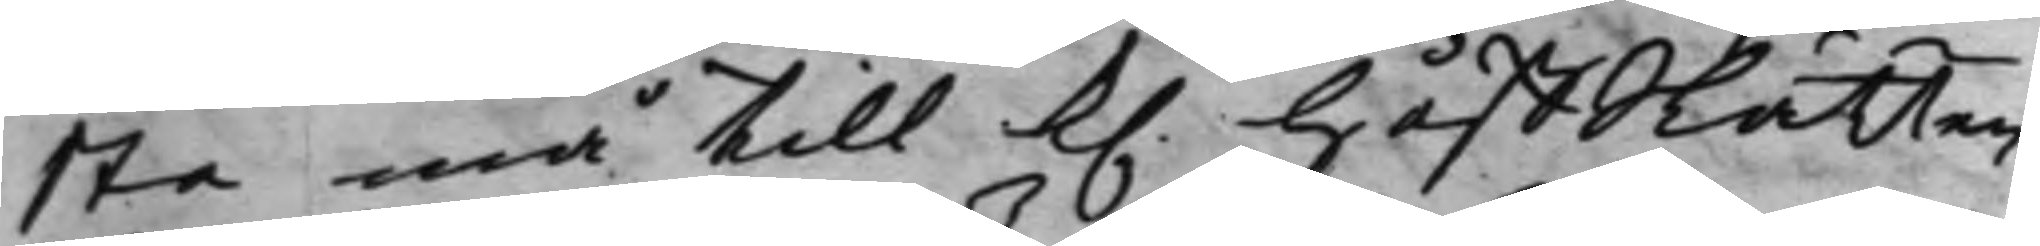sta må till K. HåffRätten
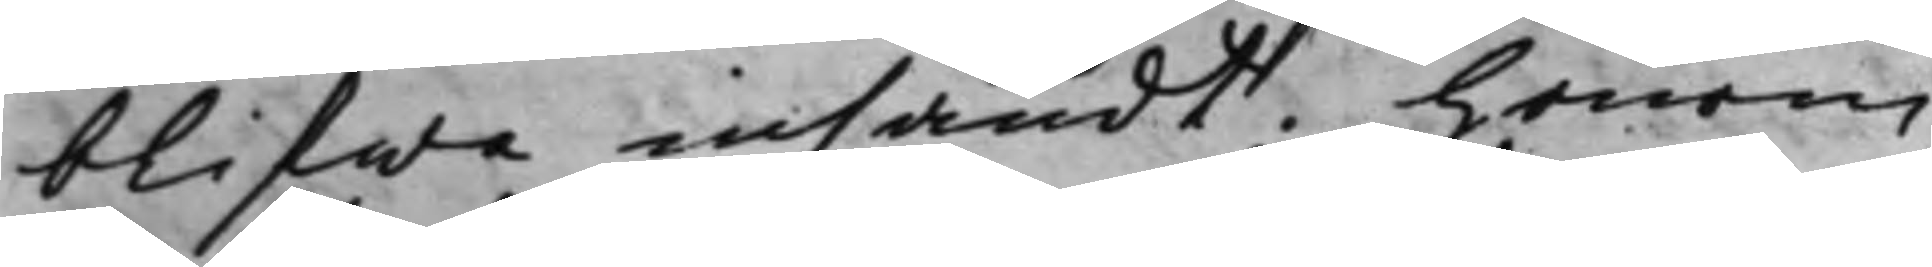blifwa insändt. Honom
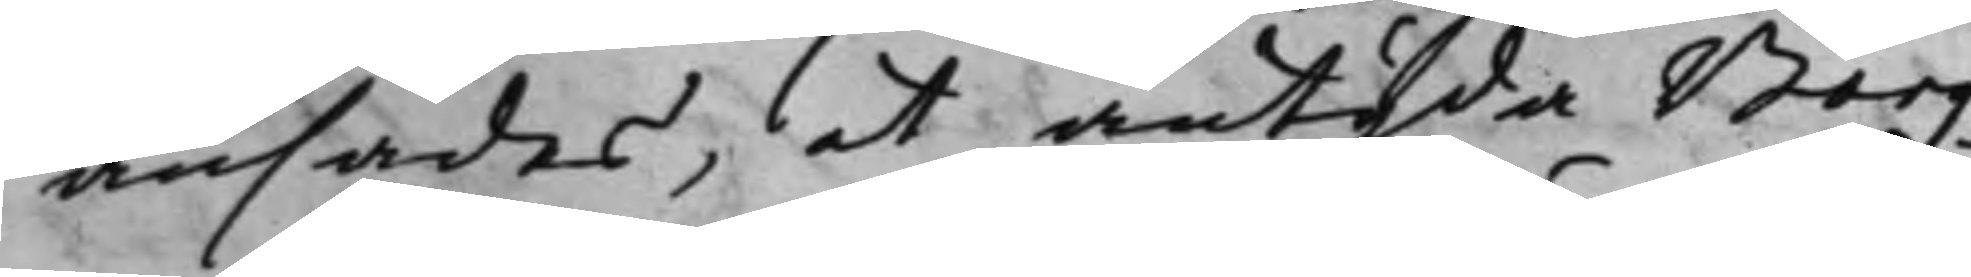ansades, at antyda Borg¬
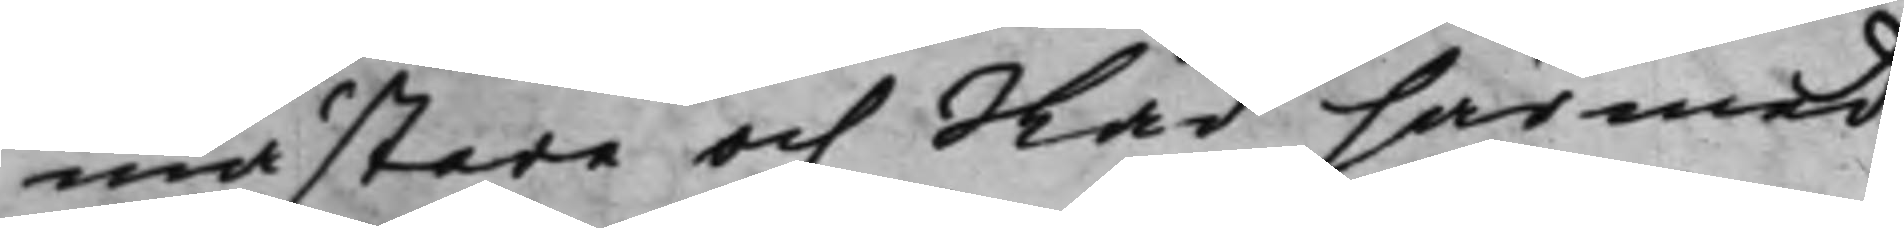mästare och Råd härmed
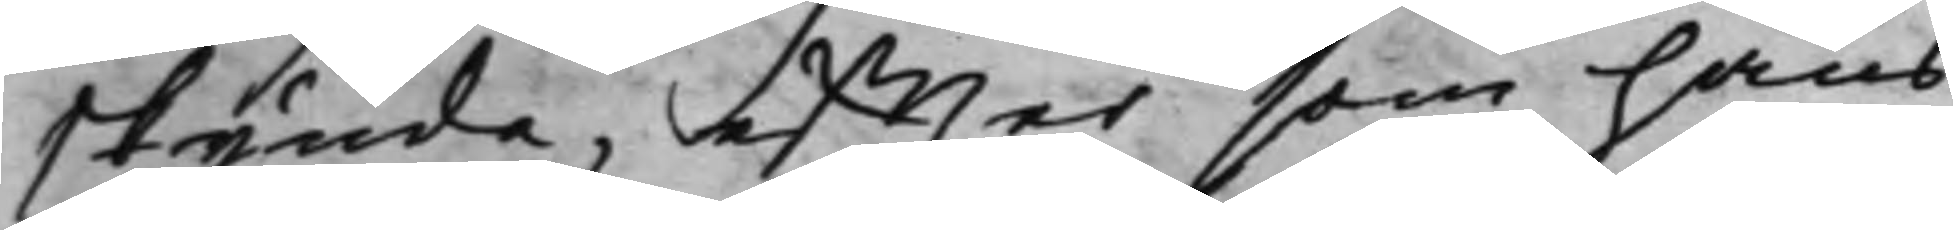skynda, effter som hans
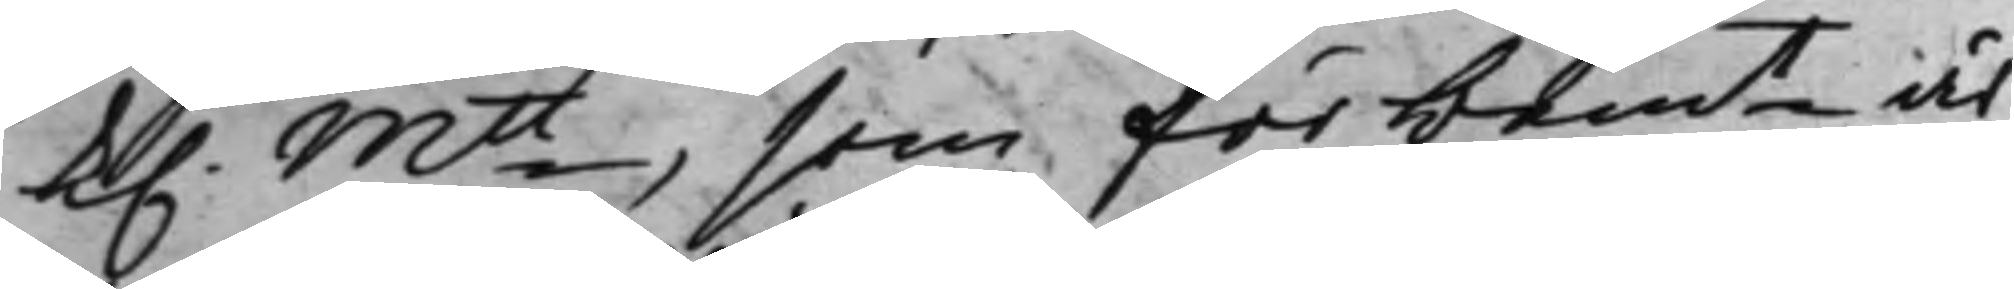K. Mtt som för bemt är
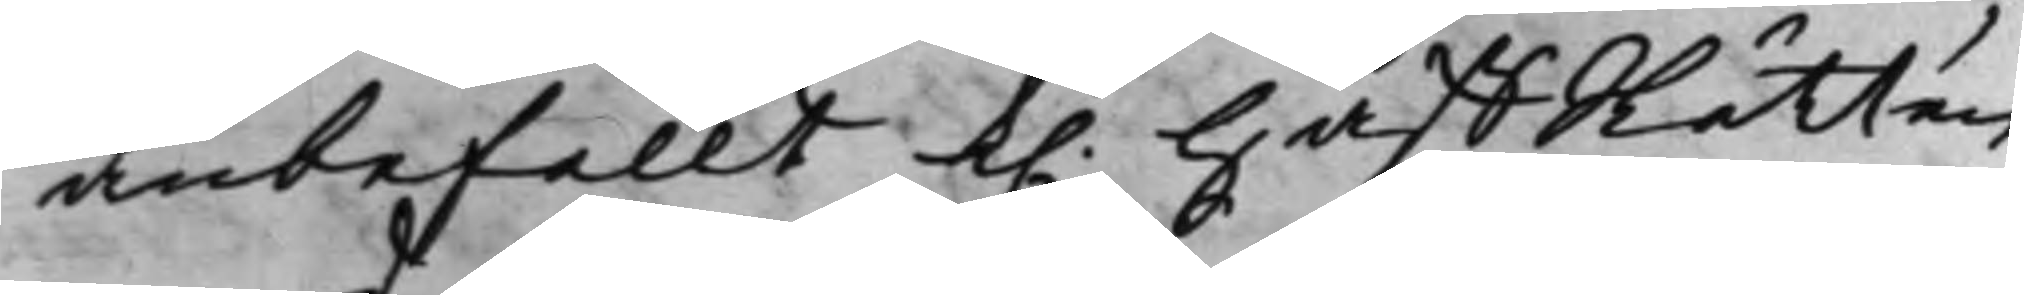anbefallt K. HåffRätten
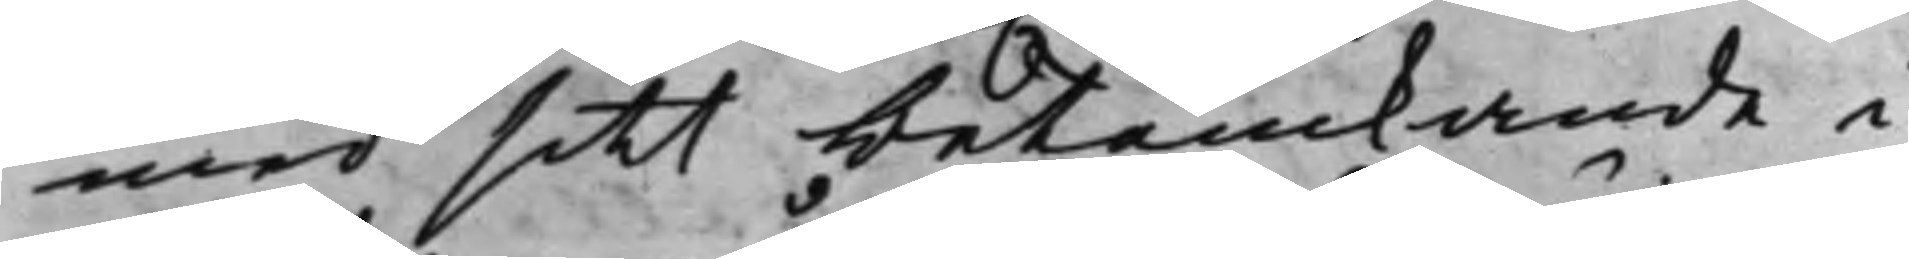med sitt betänkande, i
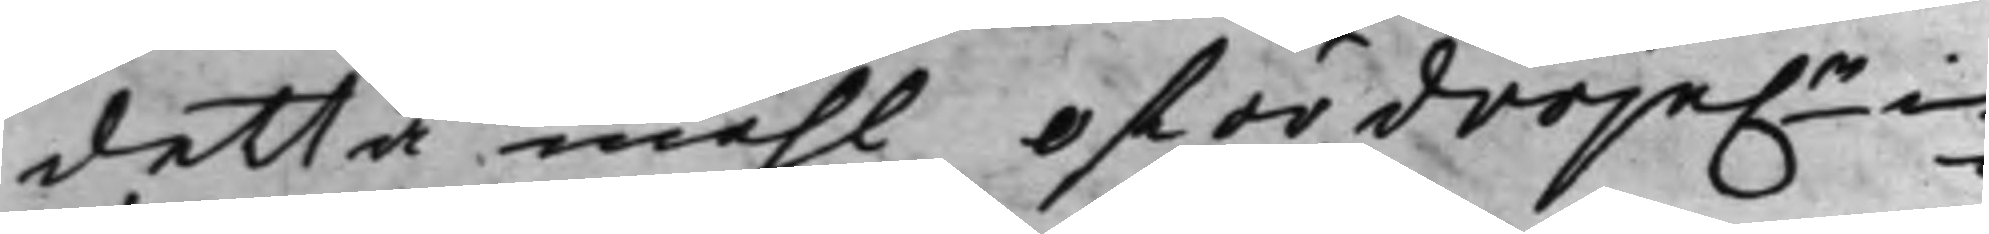detta måhl ofördröje:n in¬
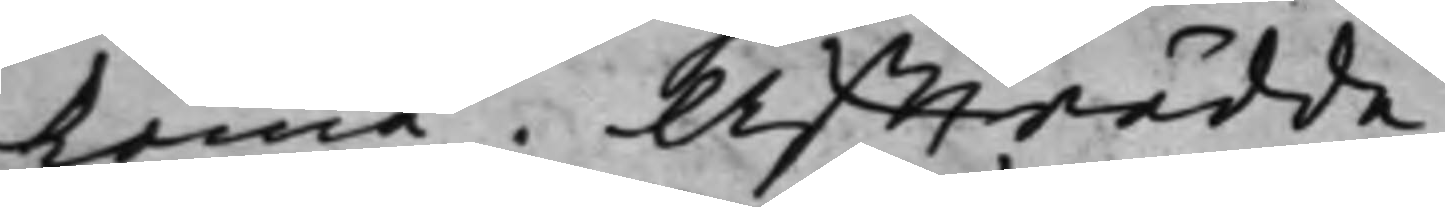komma. Affträdde.
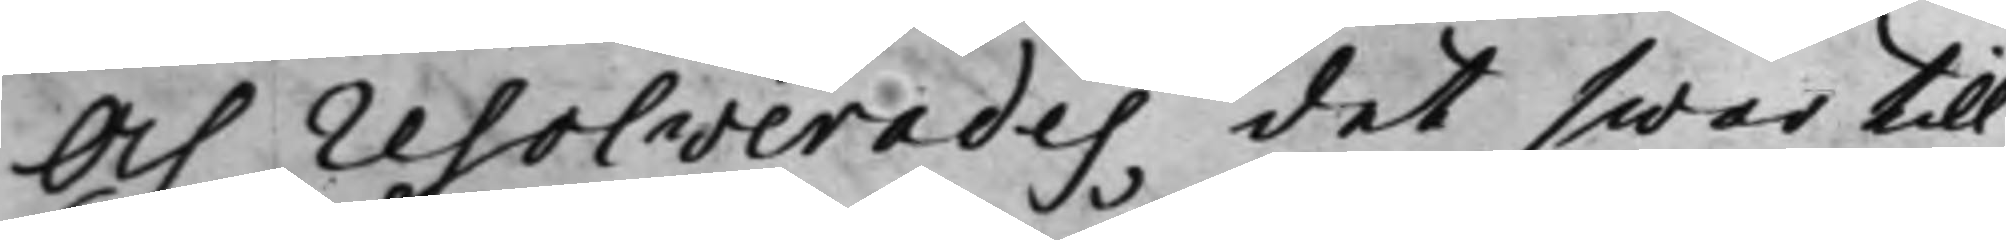Och resolverades, det swar till
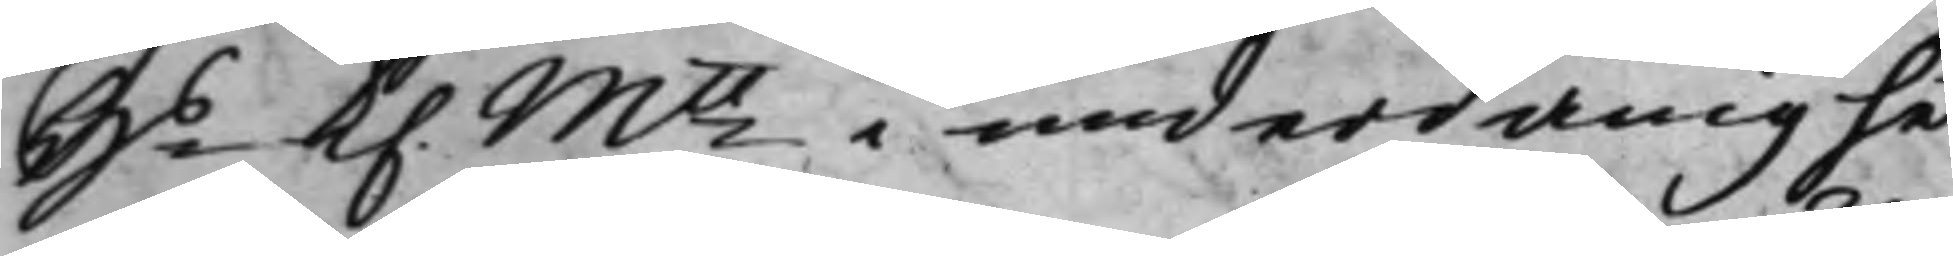Hs K. Mtt i underdånighet
